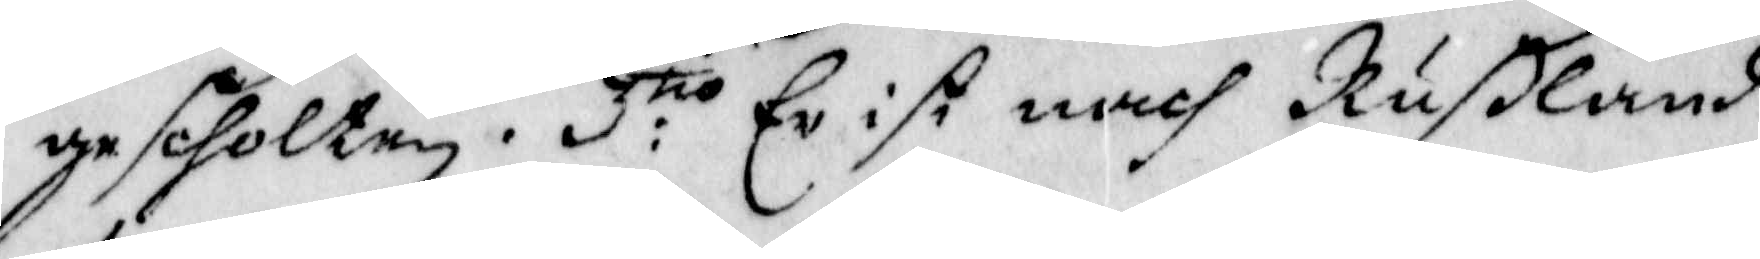gescholen. 3:tio  Er ist nach Rußland
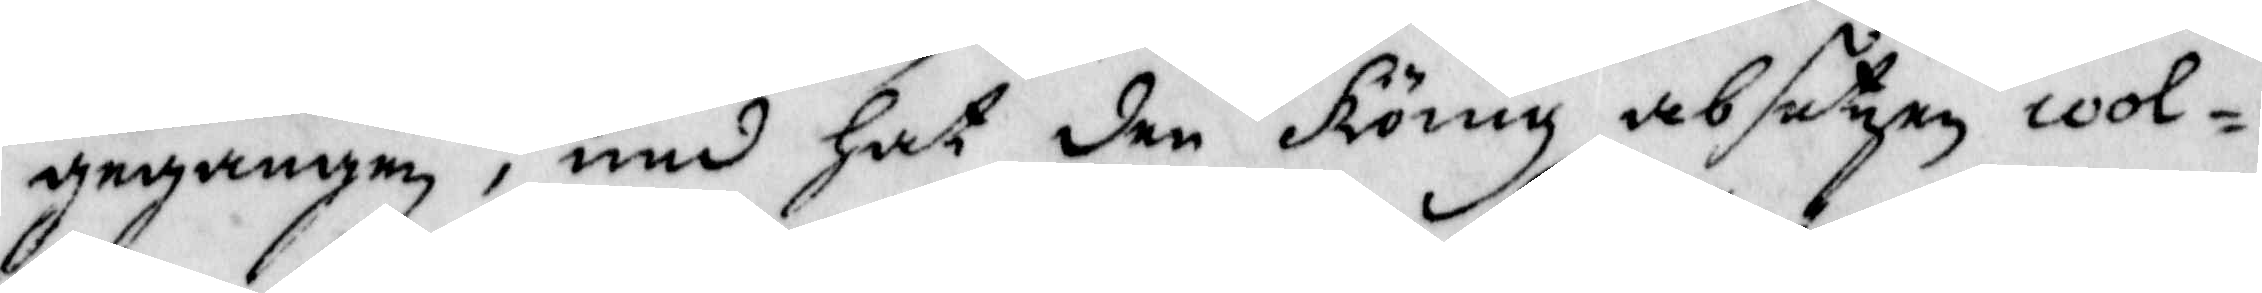gegangen, und Hat den König absetzen wol¬
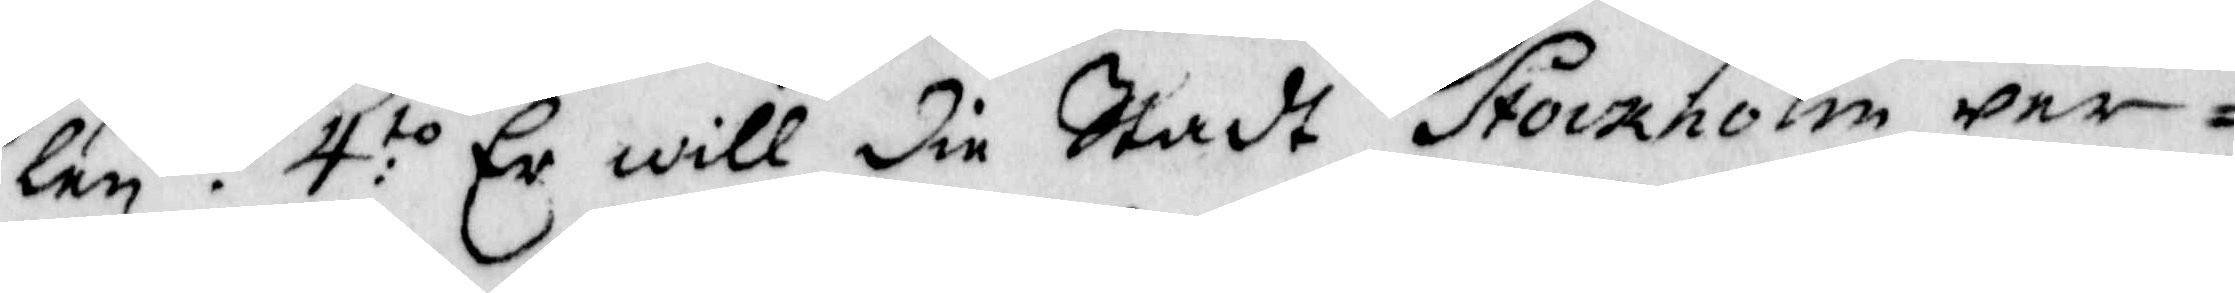len. 4:to Er will die Stadt Stockholm wer¬
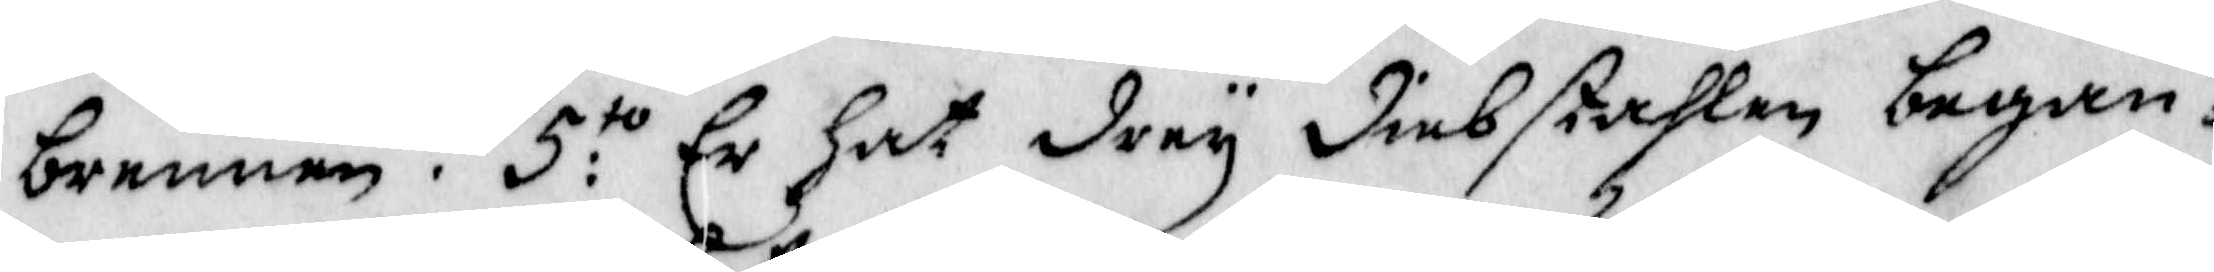brennen. 5:to Er hat drey diubstahlen began¬
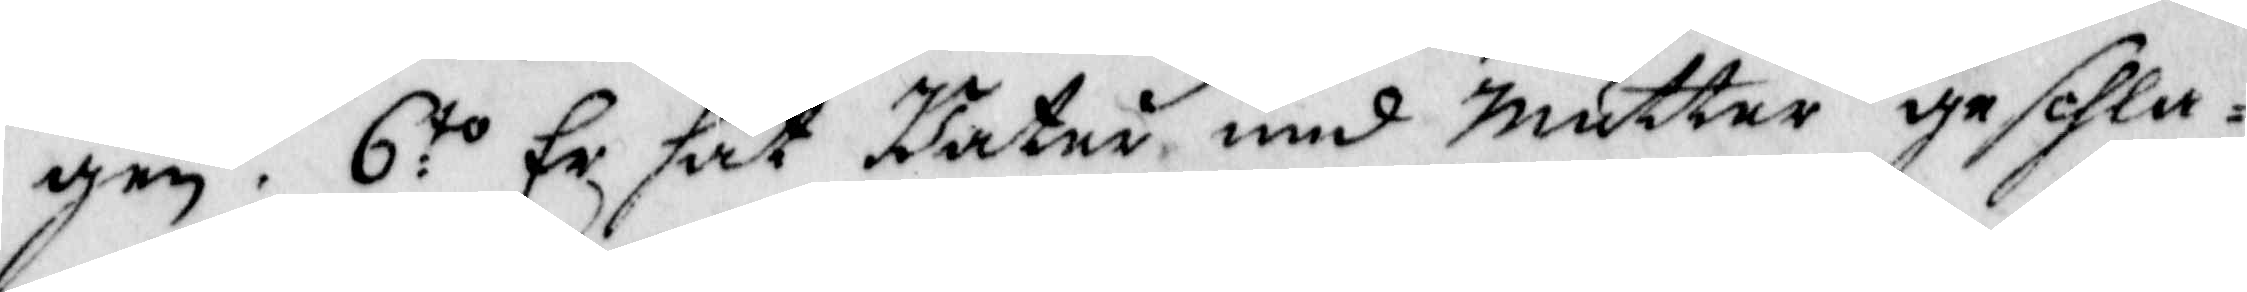gen. 6:to Er Hat Fatur und Mutter gesehla¬
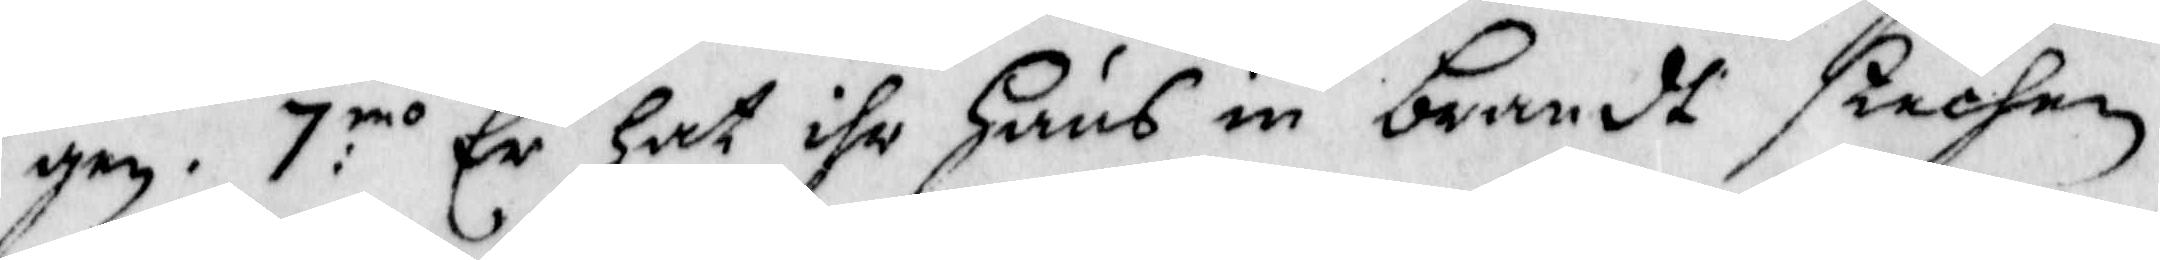gen. 7:mo Er Hat ihr Huus in Brandt stechen
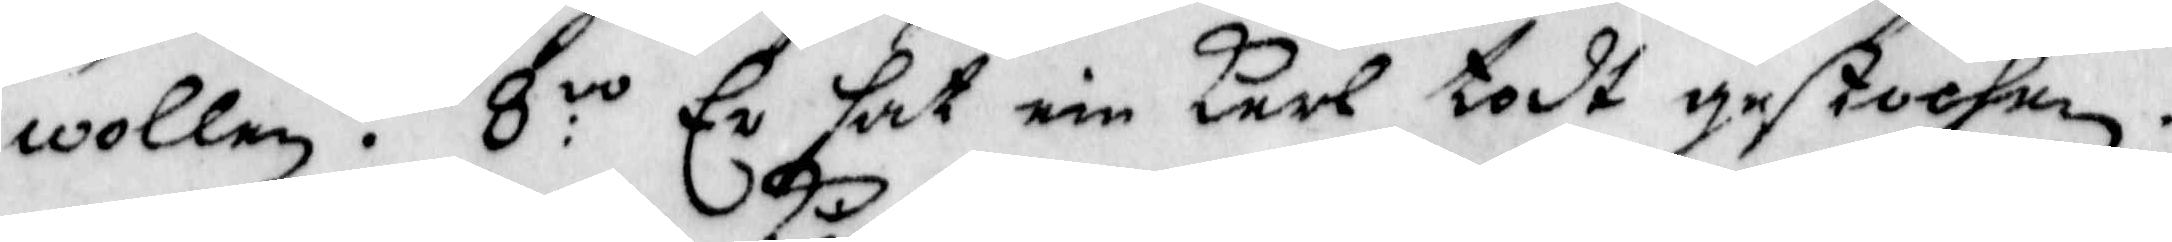wollen. 8:vo Er Hat ein Karl todt gestochen.
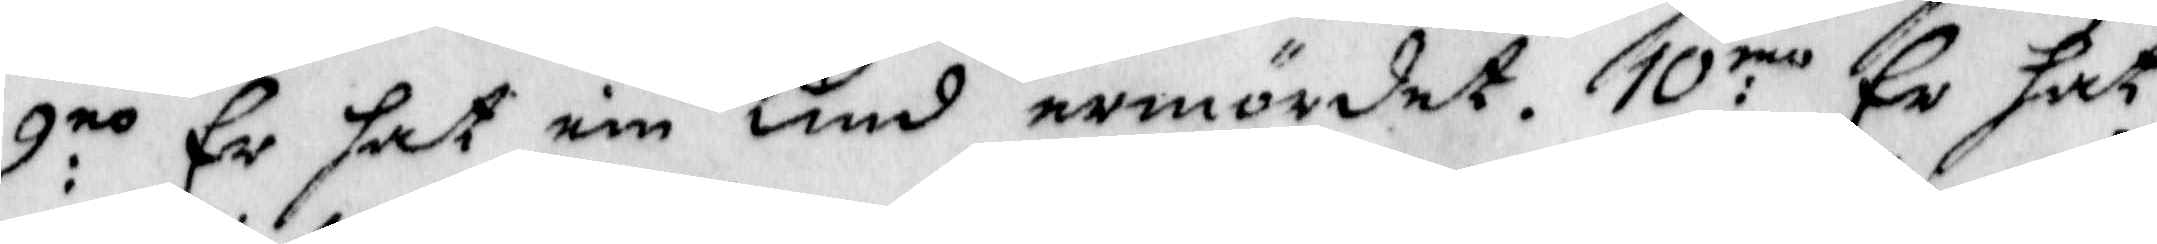9:no er hat ein Kind ermördet. 10:mo Er hat
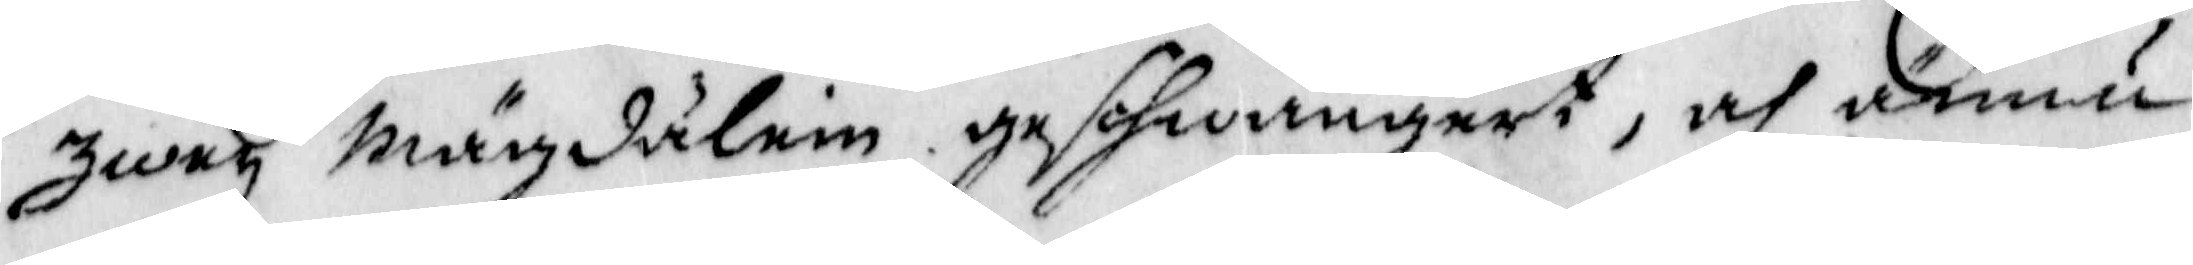Zwey Mägdälein geschwungert, och ännu
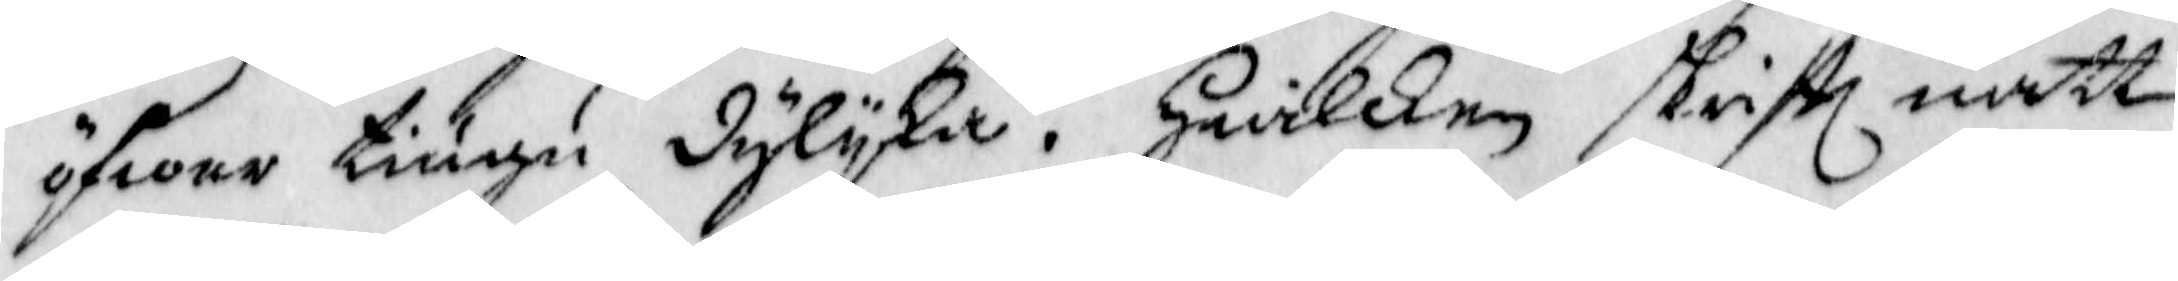öfwer tiugu dylyka. Hwilken skriftt natt
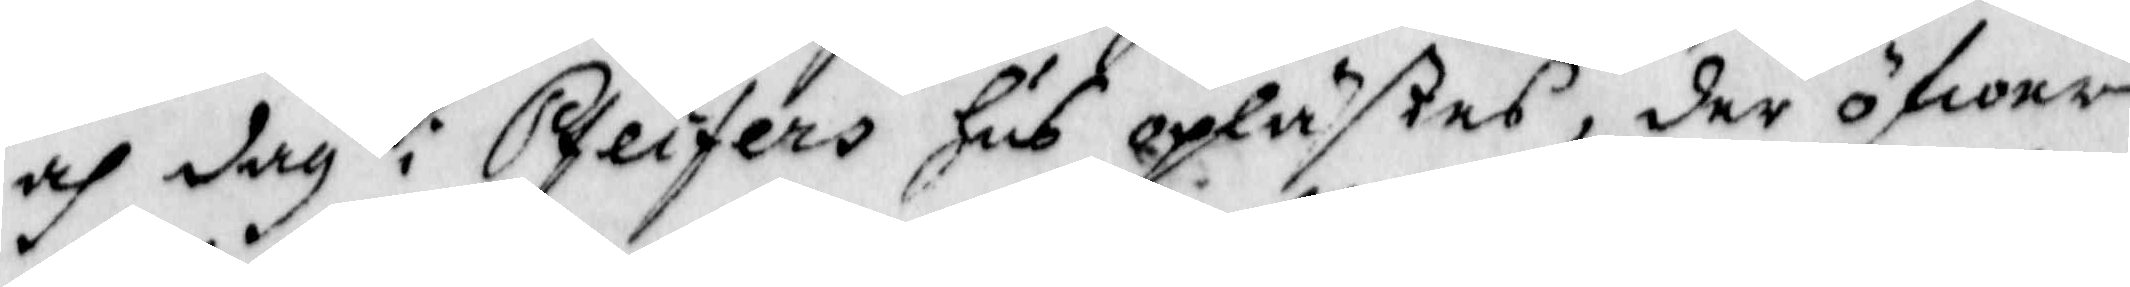och dag i Pfeifers Hus oplästes, der öfwer
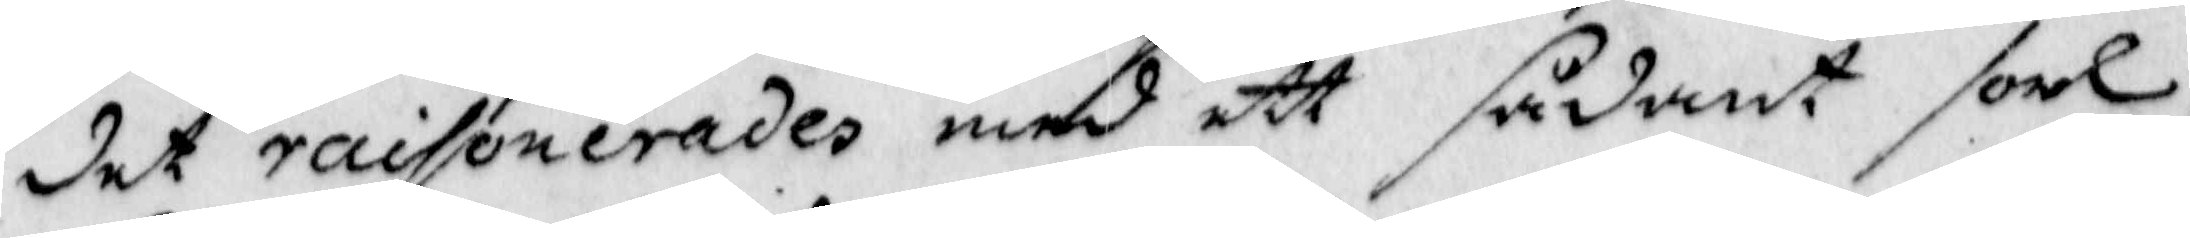det raisonerades med ett sådant sorl
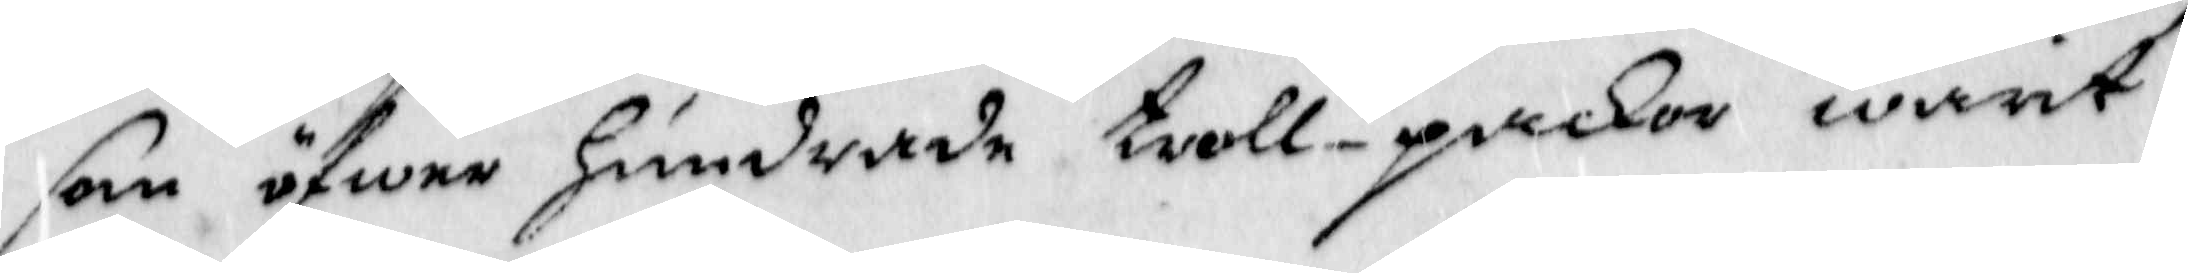som öfwer Hundrade troll-packor warit
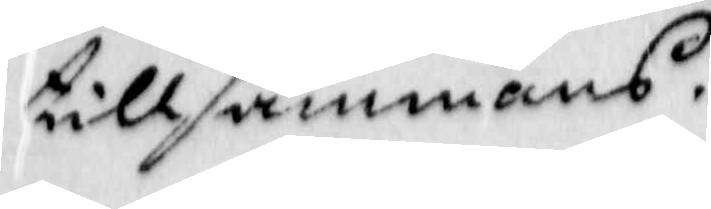tillsammans.
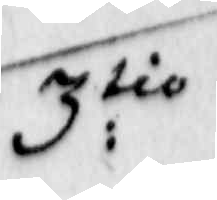3:tio
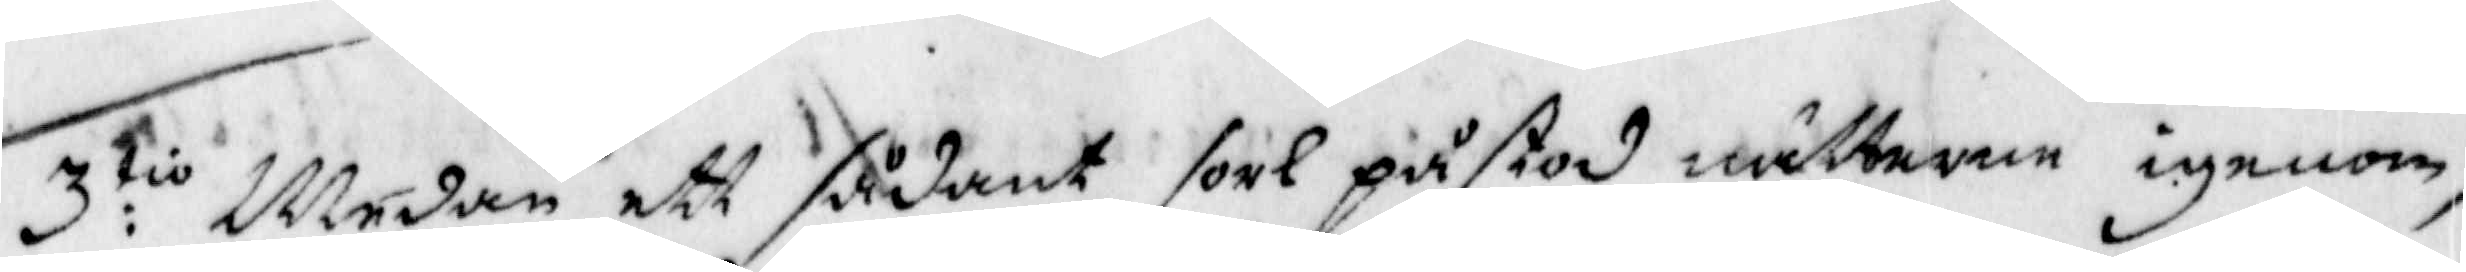3:tio Medan ett sådant sorl påstod nätterne igenom,
